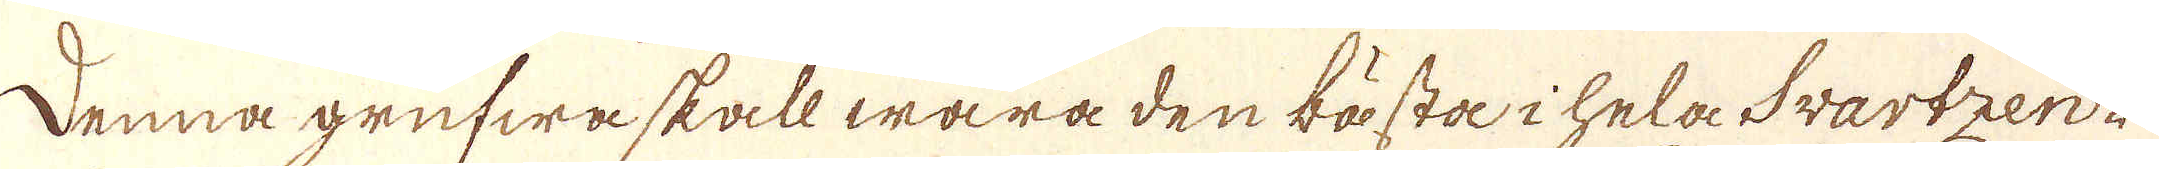Denna grufwa skall wara den lösta i hela Svartzen-
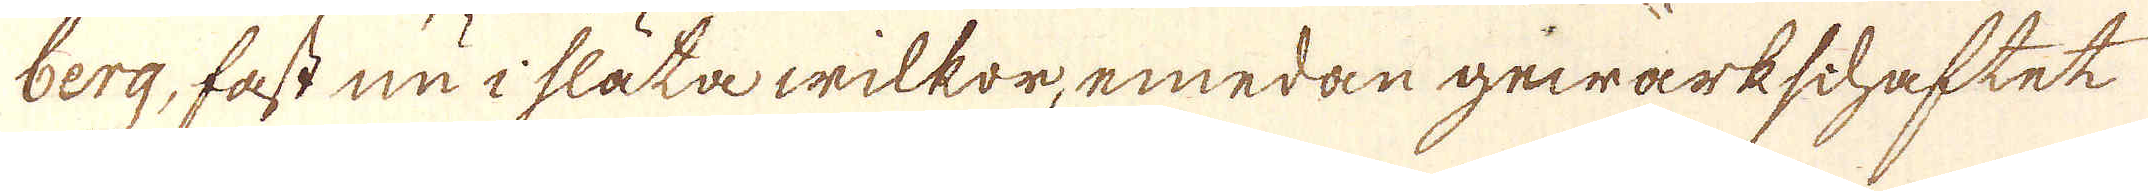berg, fast nu i släta wilkor, emedan gewärkschaftet
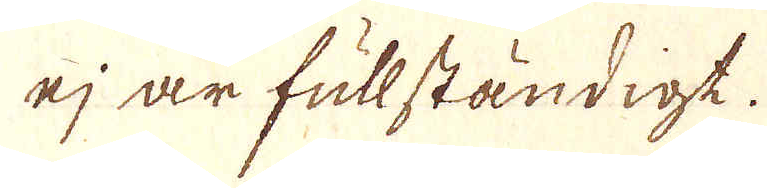ej är fullständigt.
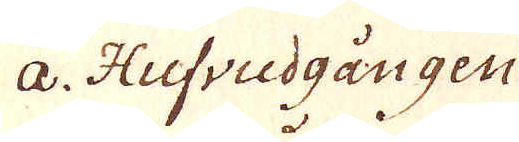a. Hufvudgången
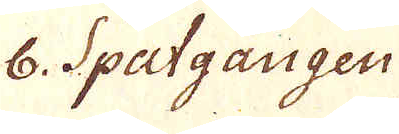b. Spatgången
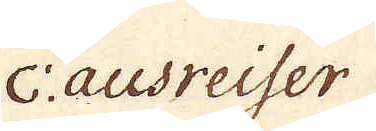c: ausreiser
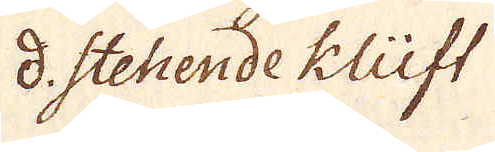d. Stehende klüft
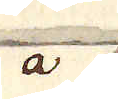a
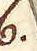b.
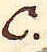c.
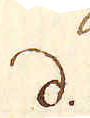d.
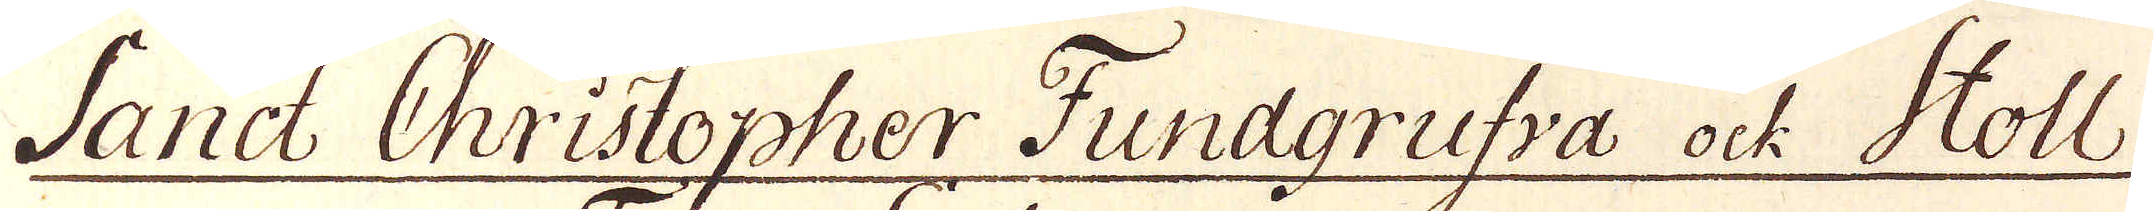Sand Christopher Fundgrufva ock Stoll
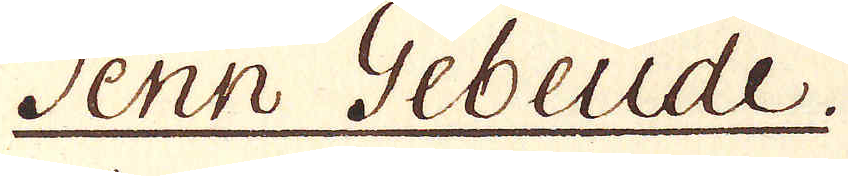Tenn Gebeude.
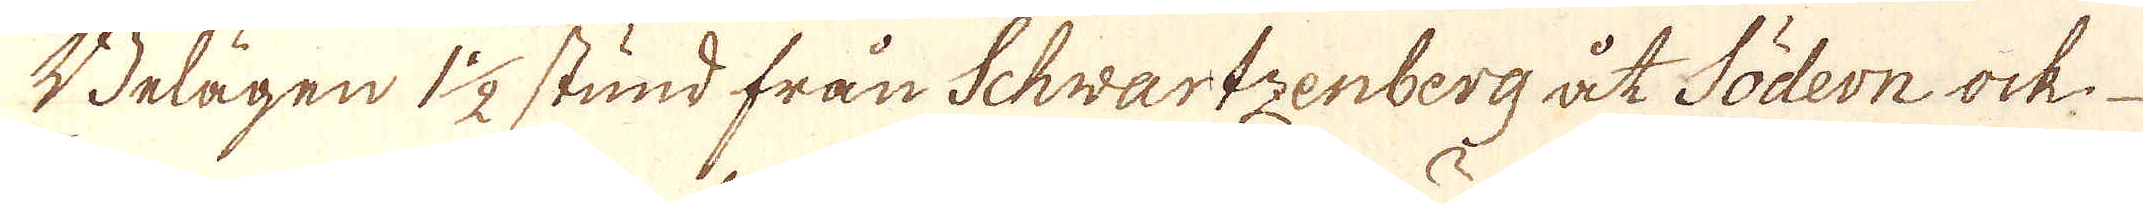Belägen 1 1/2 stund från Schwartzenberg åt Södern ock
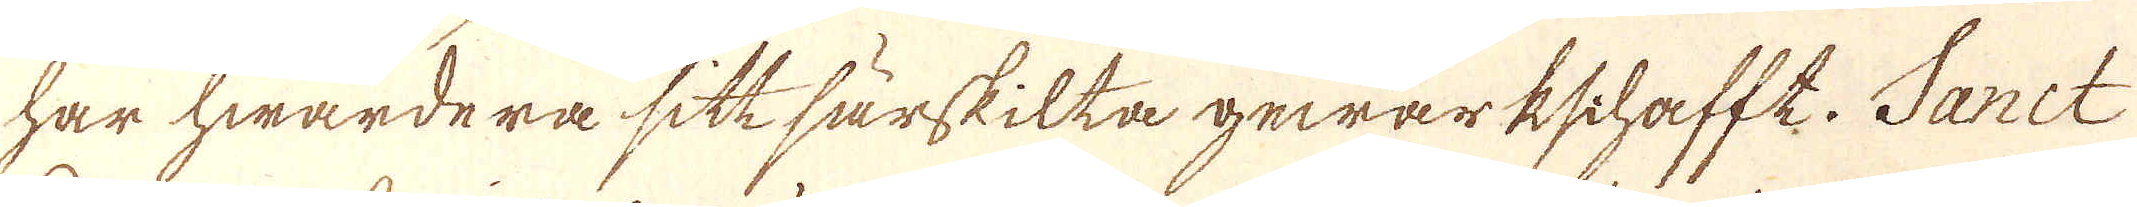har hwardera sitt särskilta gewärkschafft. Sanct
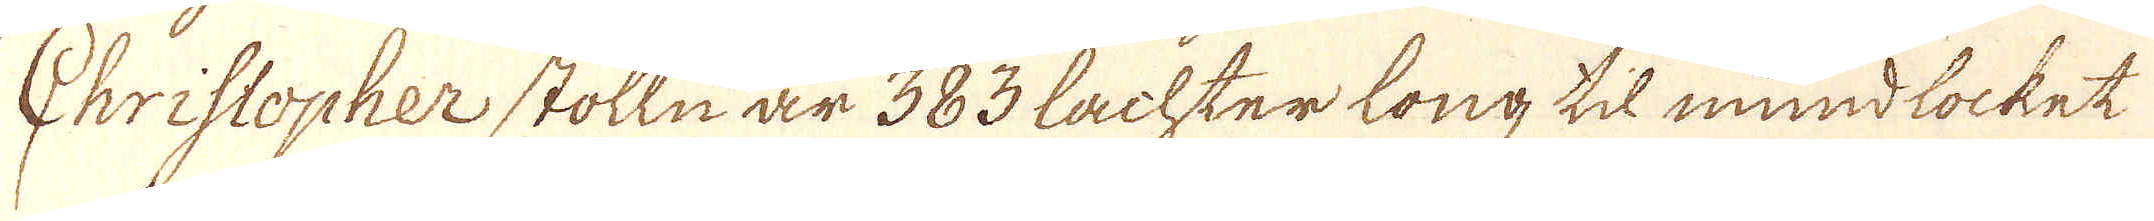Christopher stolln är 383 Lachter long til mundlocket
